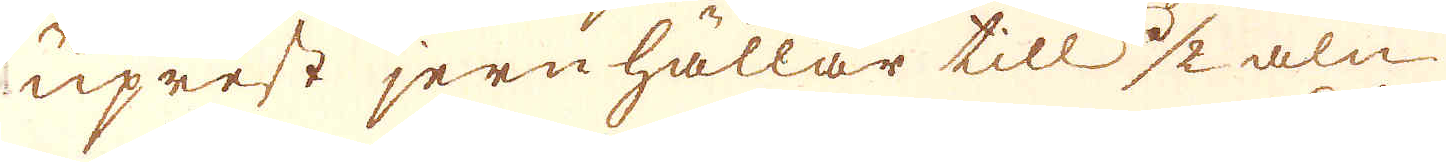uprest jernhällar till 1/2 aln
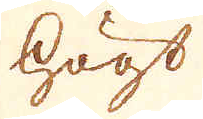högt
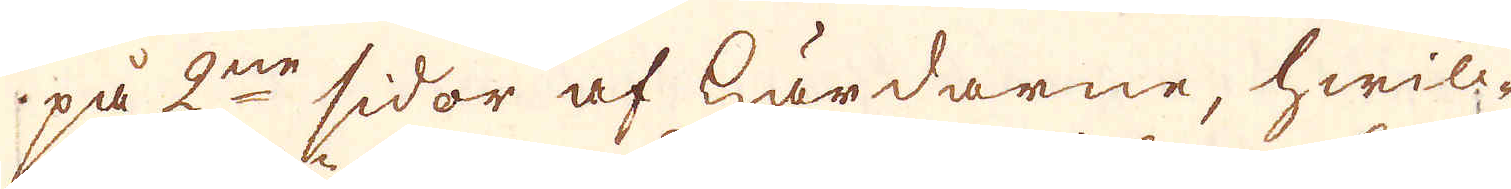på 2ne sidor af härdarne, hwilc-
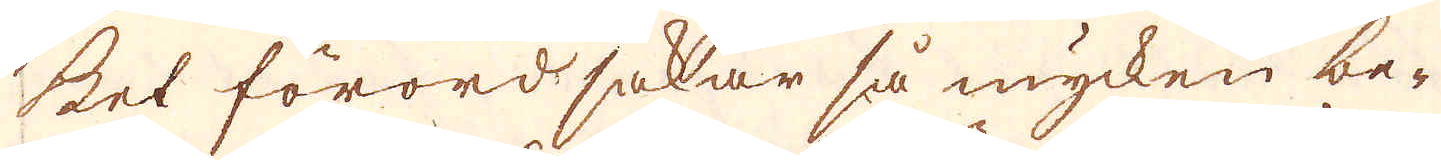ket förordsakar så mycken be-
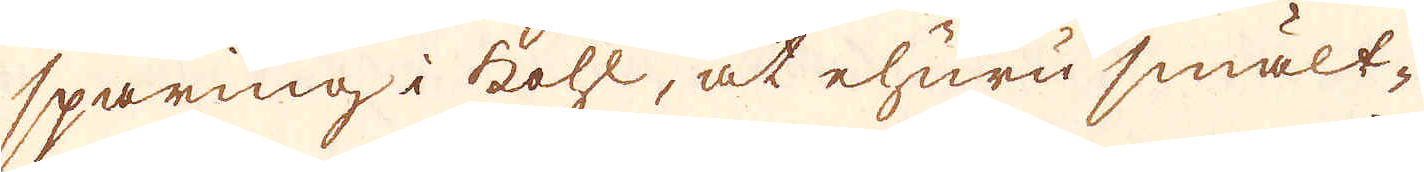sparing i kohl, at ehuru smält-
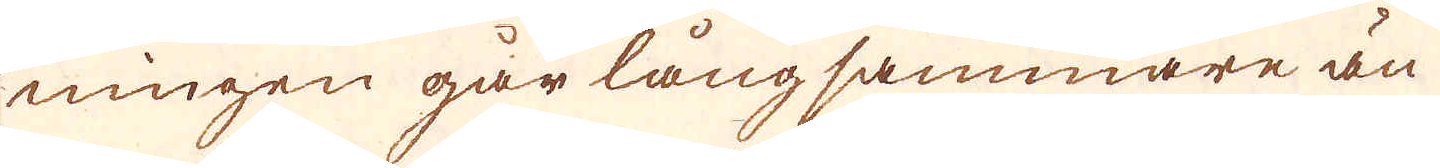ningen går längsammare än
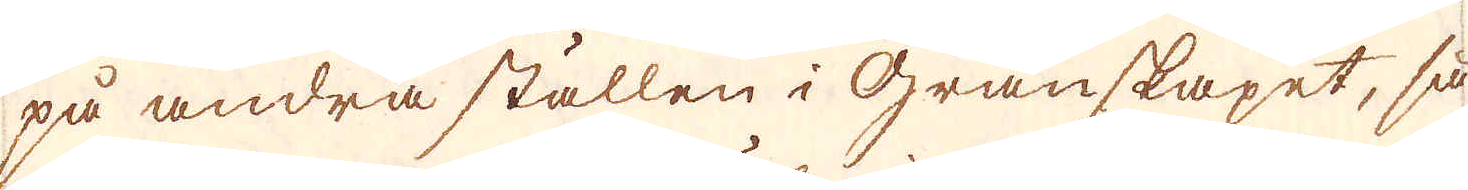på andra ställen i granskapet, så
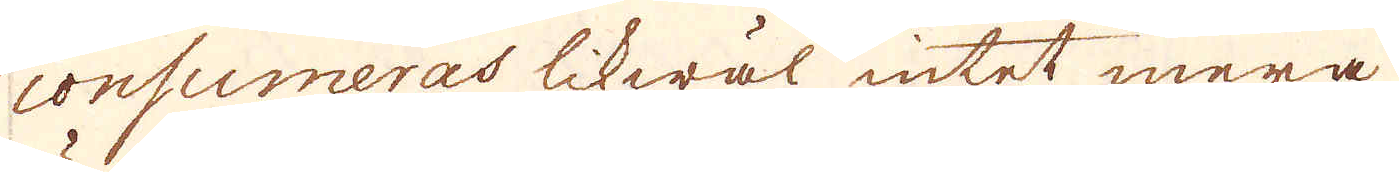consumeras likwäl intet mera
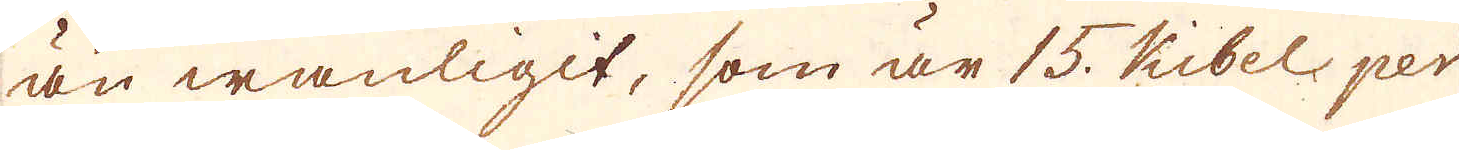än wanligit, som är 15 Kibel per
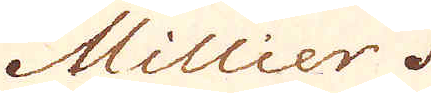Millier.
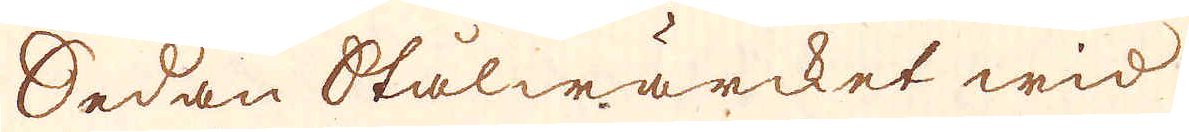Sedan Stålwärcket wid
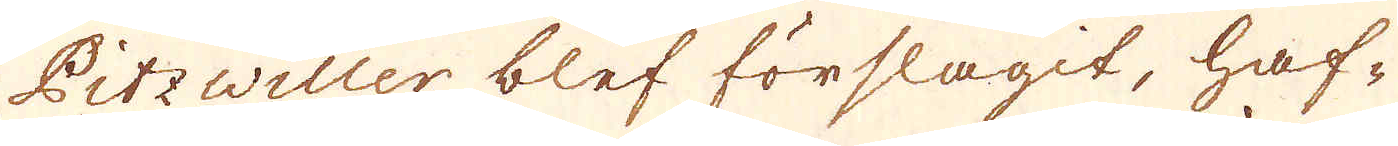Pitzwiller blef förslagit, haf-
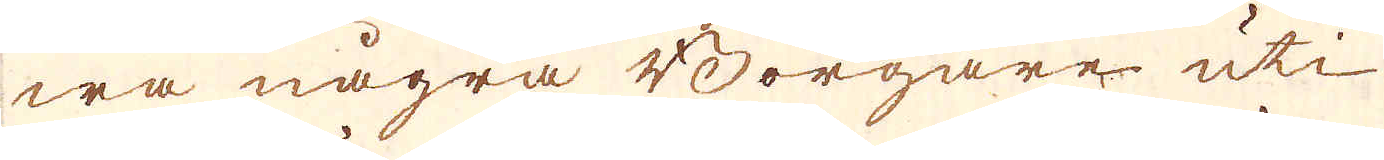wa några Borgare uti
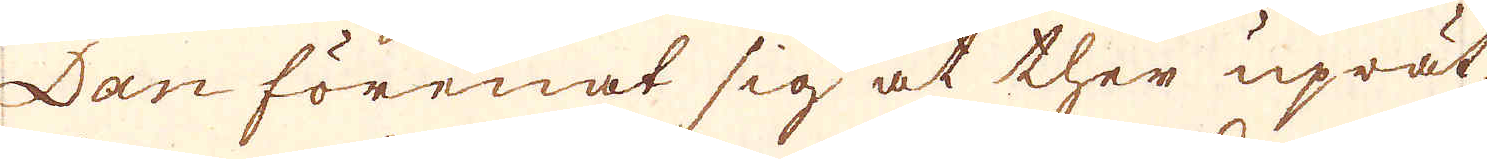Dan förenat sig at ther uprät-
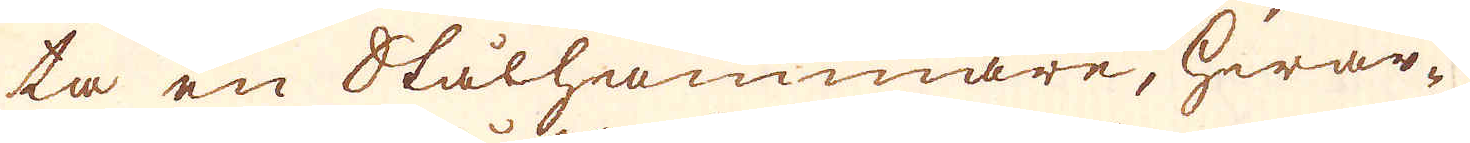ta en Stålhammare, hwar-
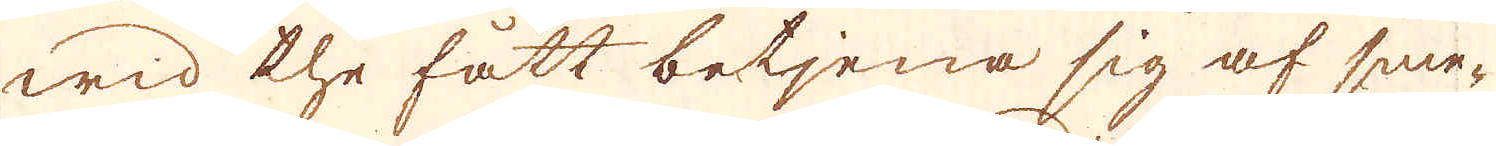wid the fått betjena sig af sme-
